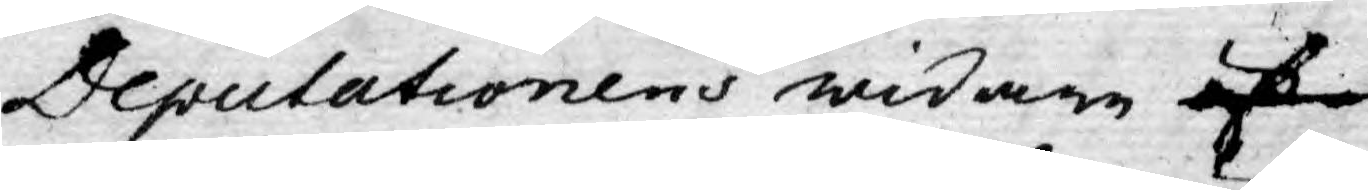Deputationens widare öf
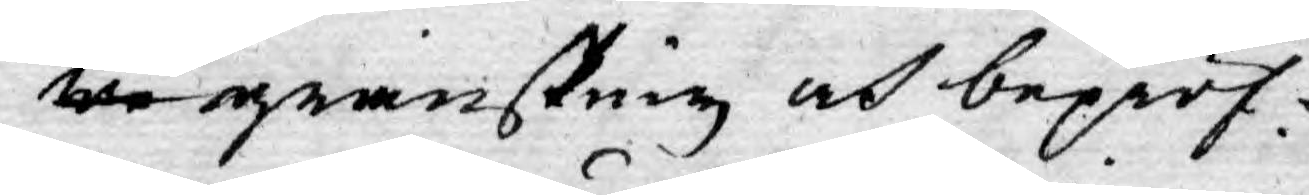we granskning och bepröf¬
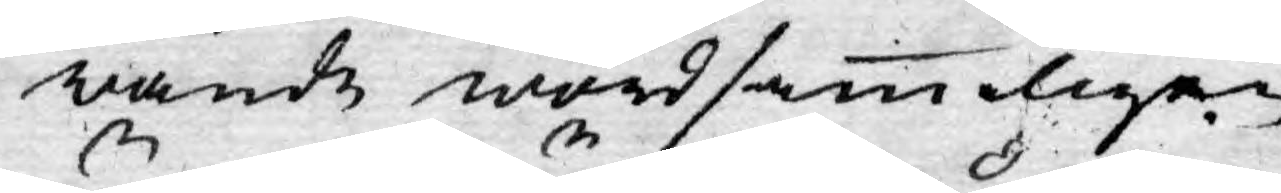wande wördsammligen
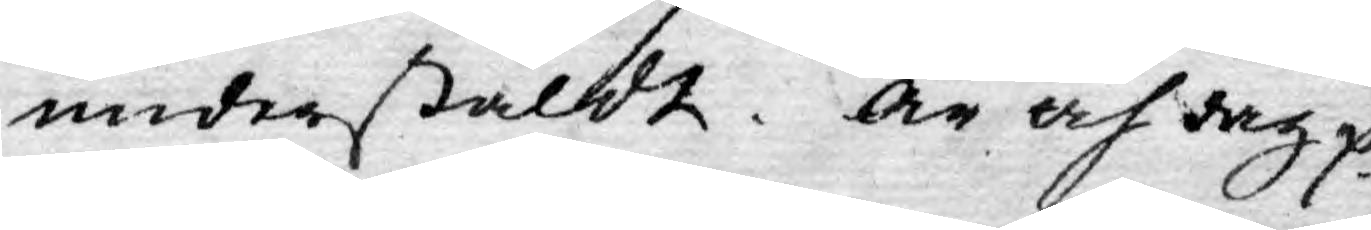understäldt. År och dag.
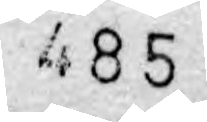485
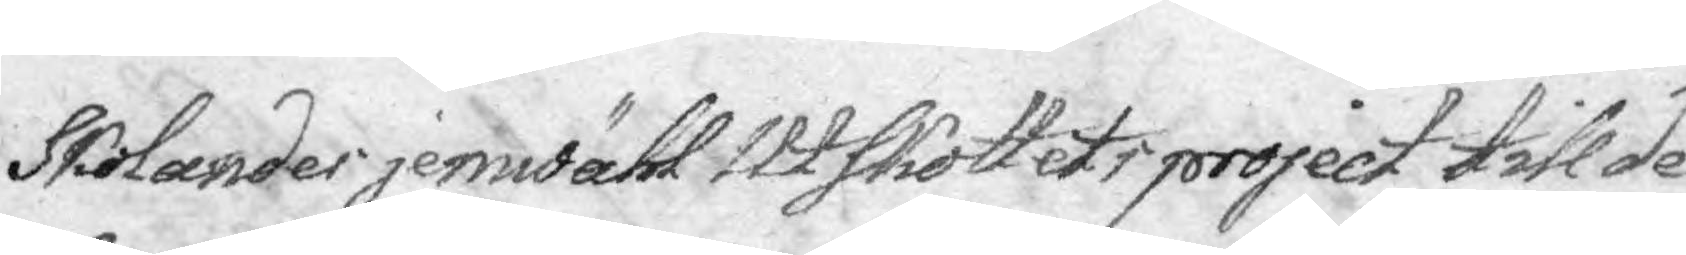Skolandes jemwähl Utskottets project till de
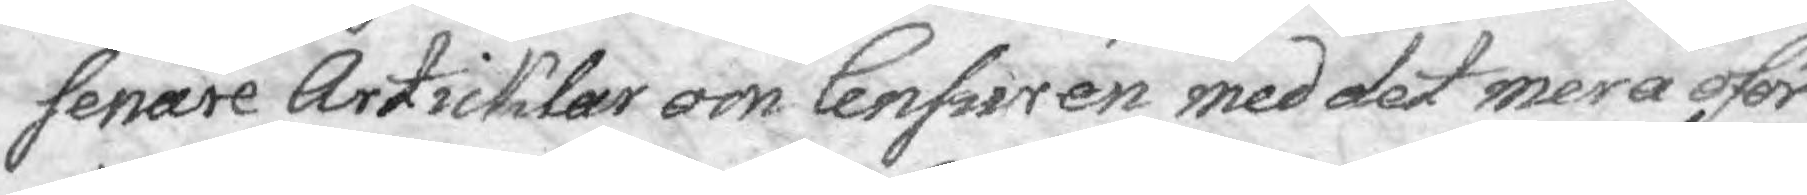senare Articklar om Censuren med det mera oför¬
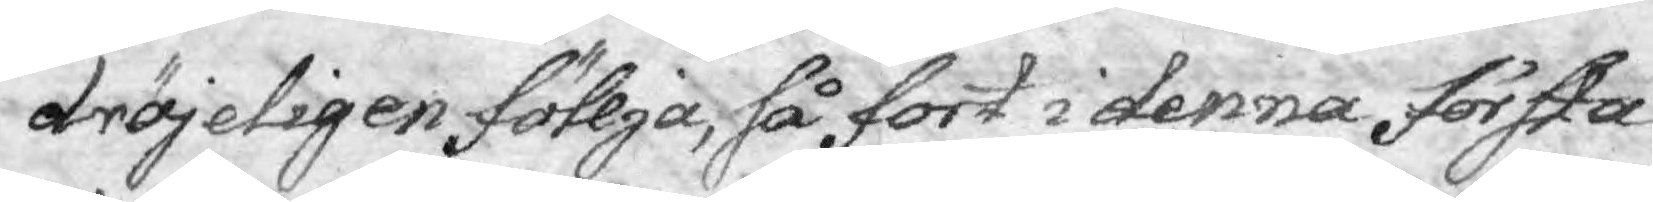dröjeligen föllja, så fort i denna första
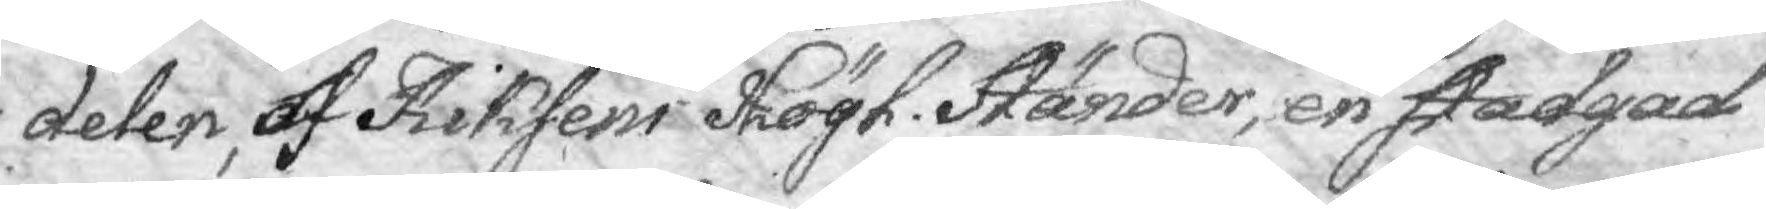delen, af Riksens Högl. Ständer, en stadgad
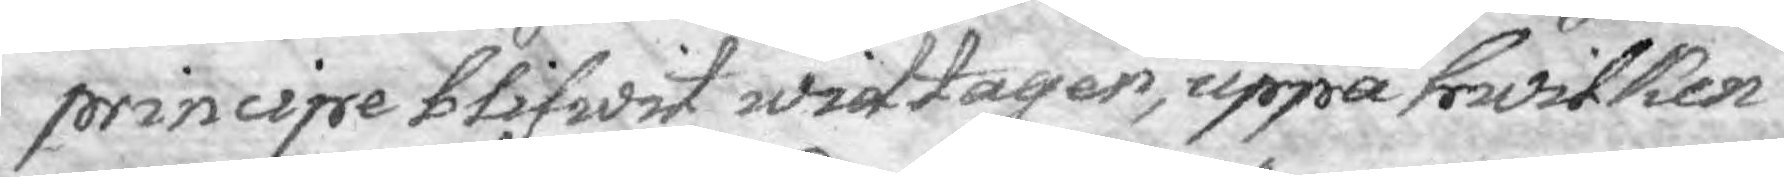principe blifwit widtagen, uppå hwilken
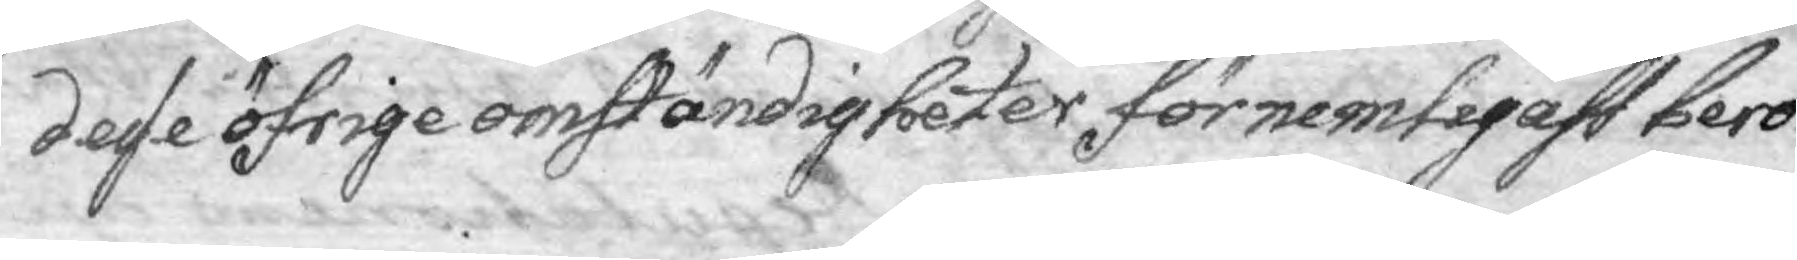desse öfrige omständigheter förnemligast bero.
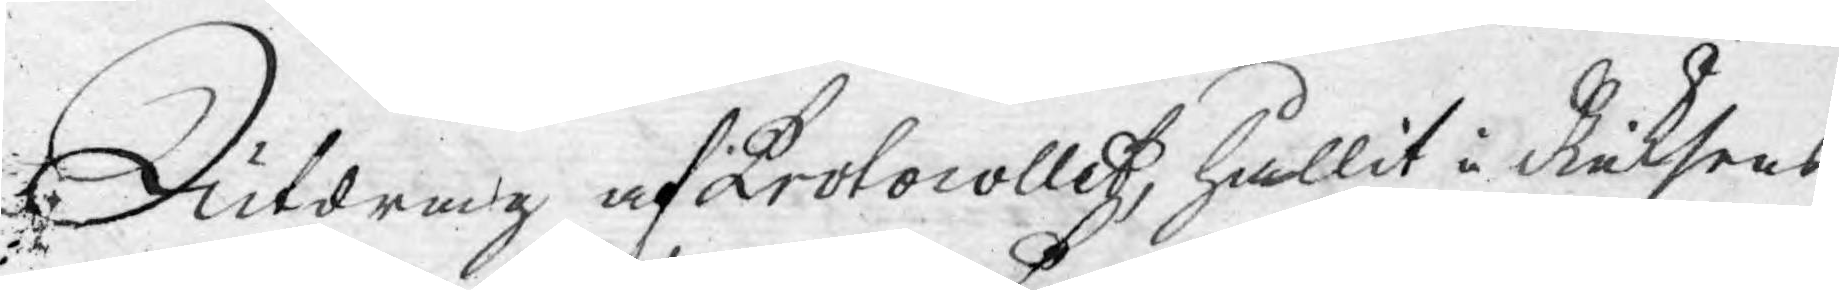Utdrag af Protocollet, hållit i Riksens
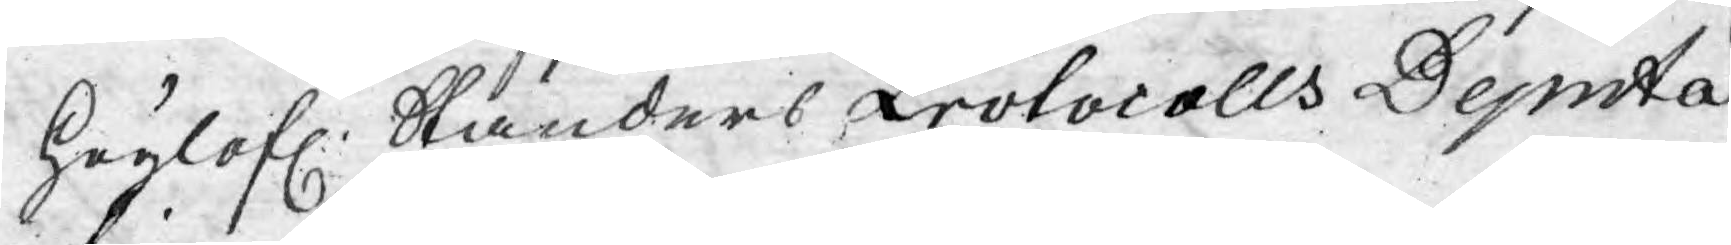Höglofl. Ständers Protocolls Deputa¬
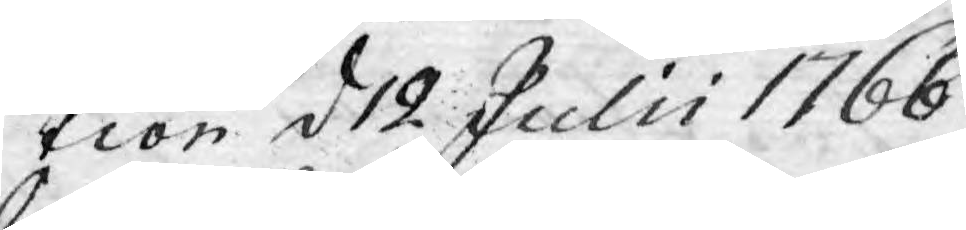tion d 12 Julii 1766.
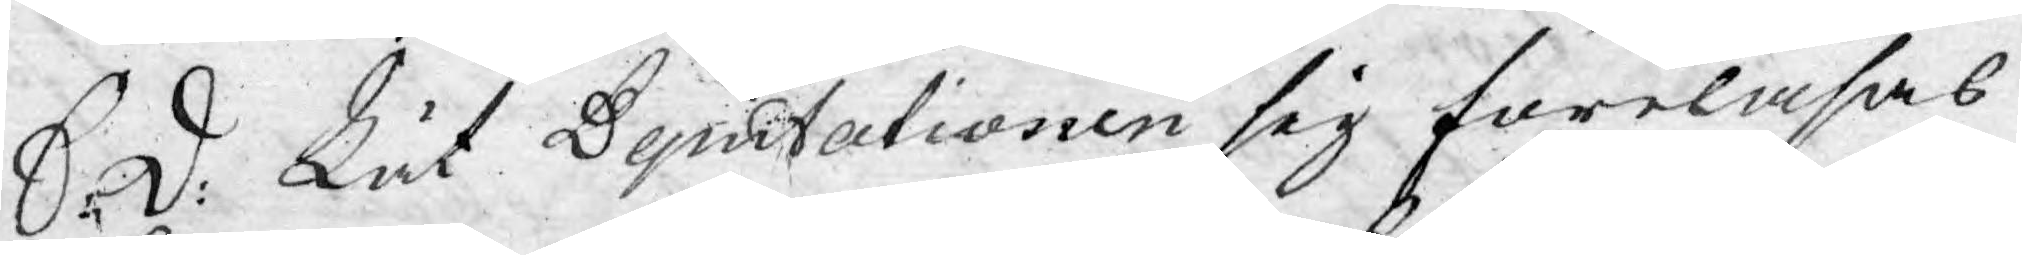S: d: Lät Deputationen sig föreläsas
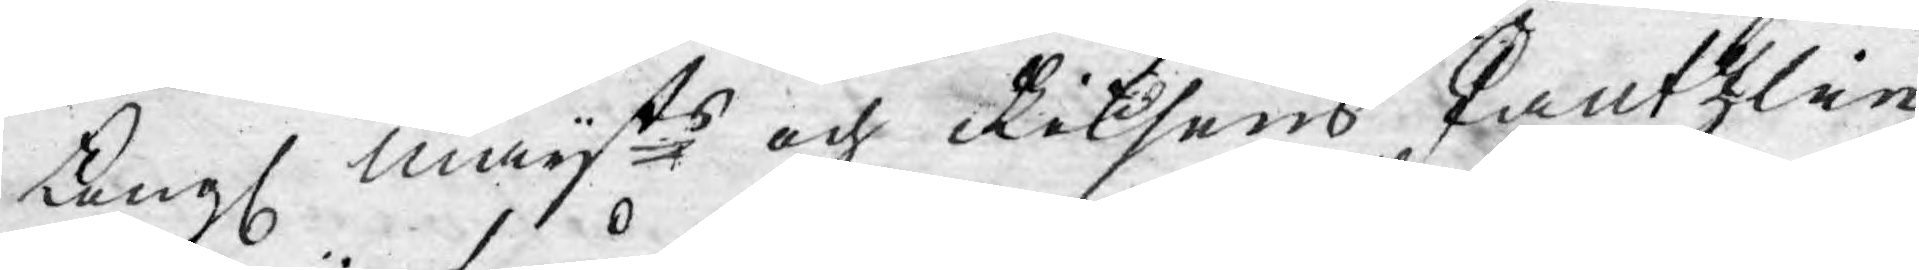Kongl Mayts och Riksens Cantzlie
